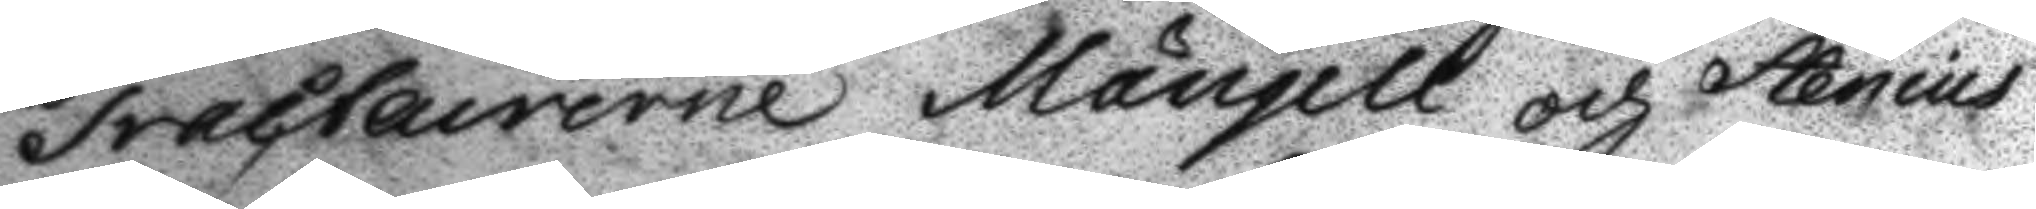Tracteurerne Maugell och Stenius
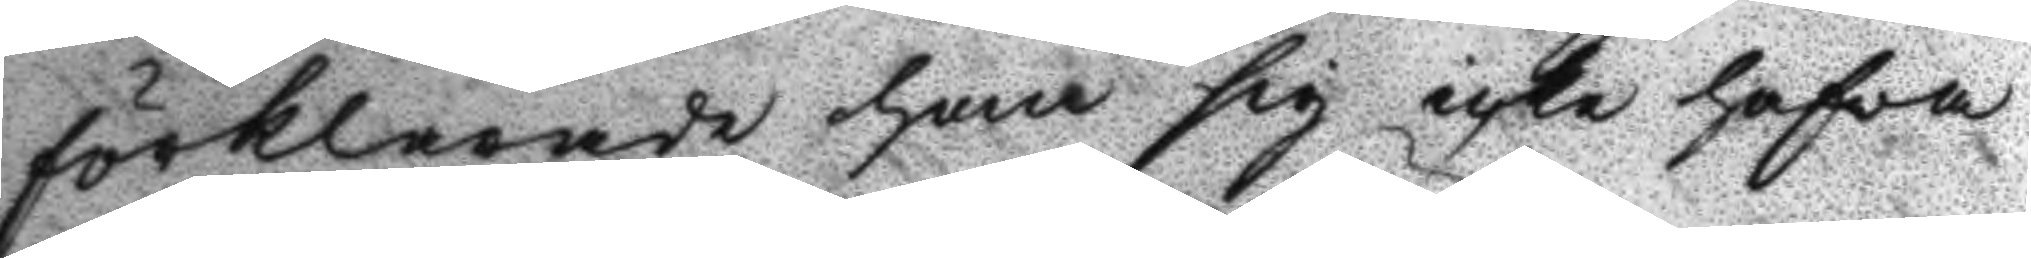förklarade han sig icke hafva
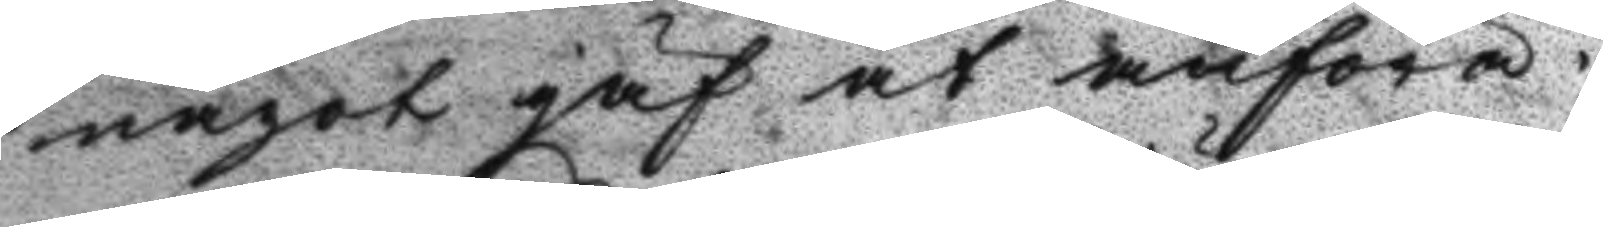något jäf at anföra.
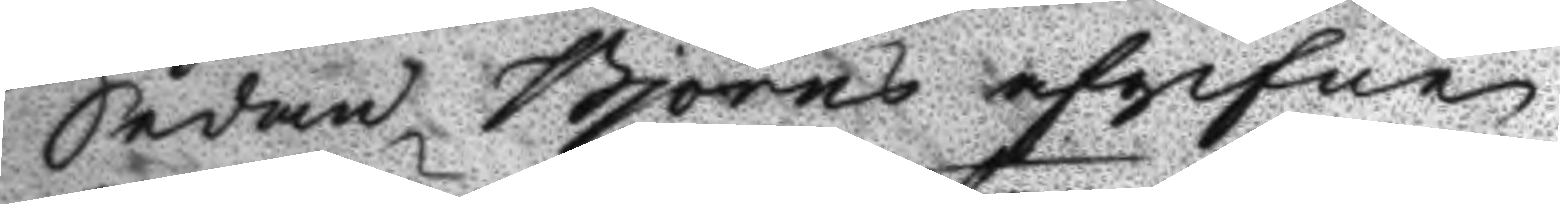Sedan Björns afgifne
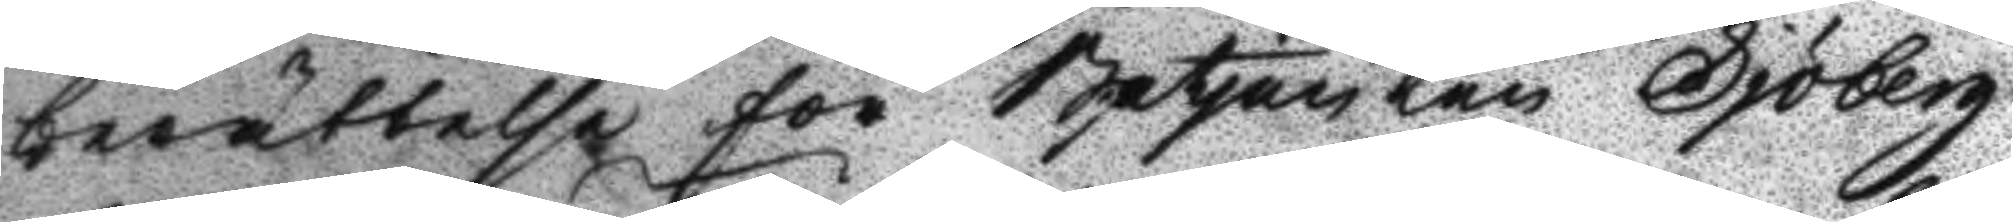berättelse för Betjänten Sjöberg
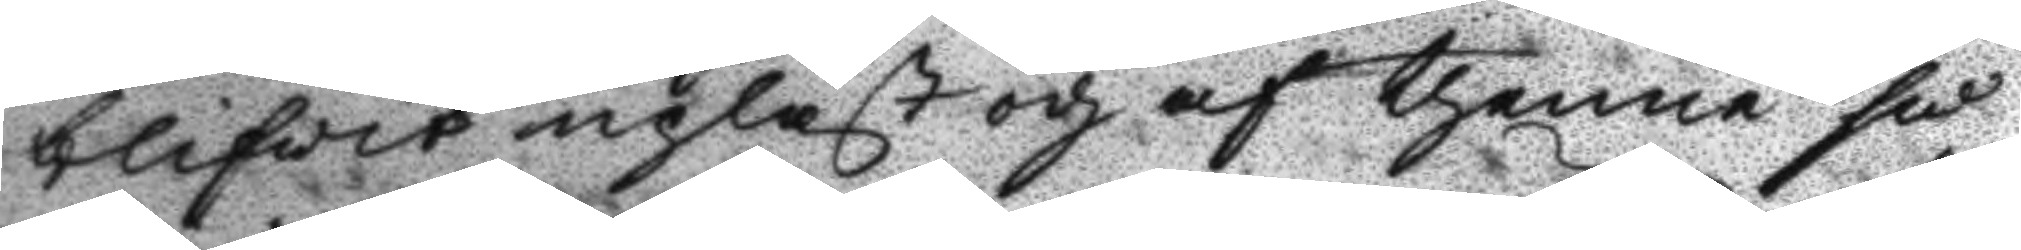blifvit upläst och af thenne så
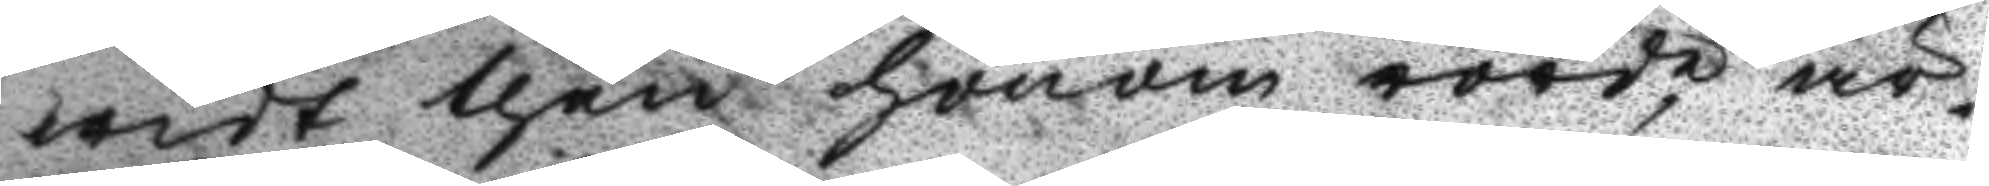widt then honom rörde, är¬
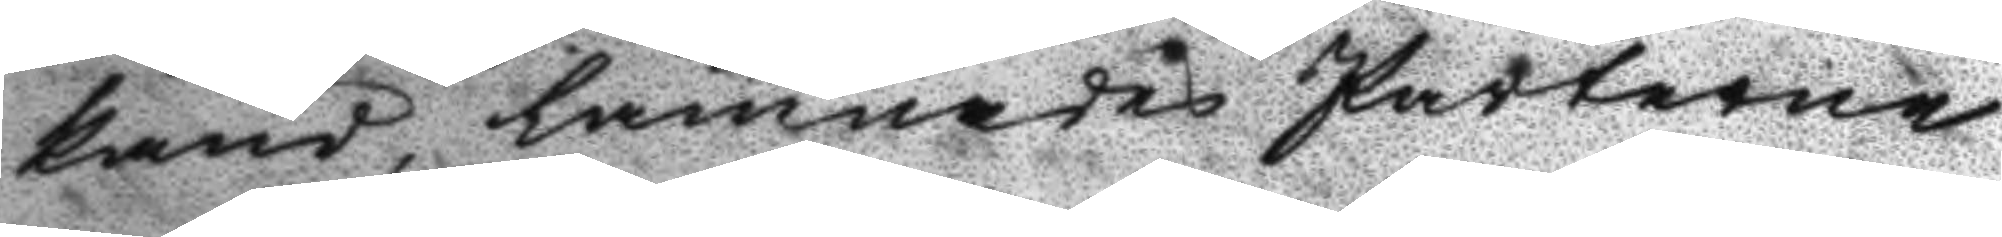känd, lämnades Perterne
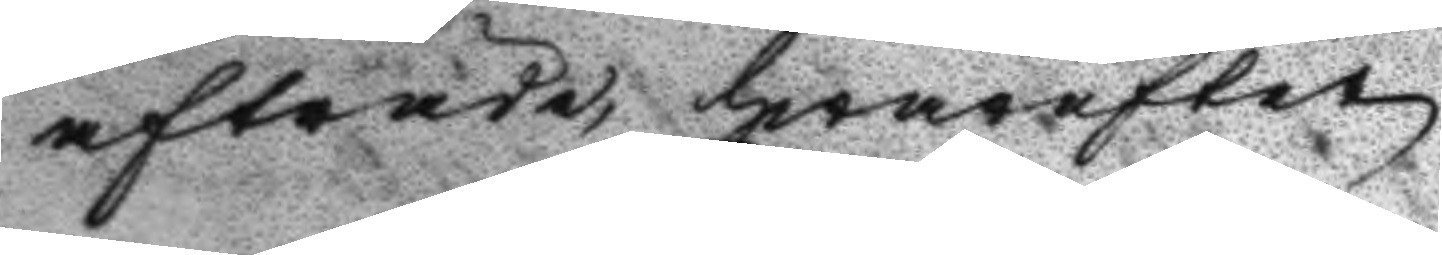afträde, hwarefter
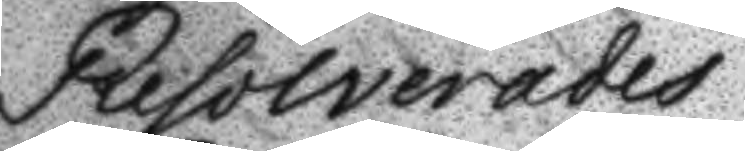Resolverades
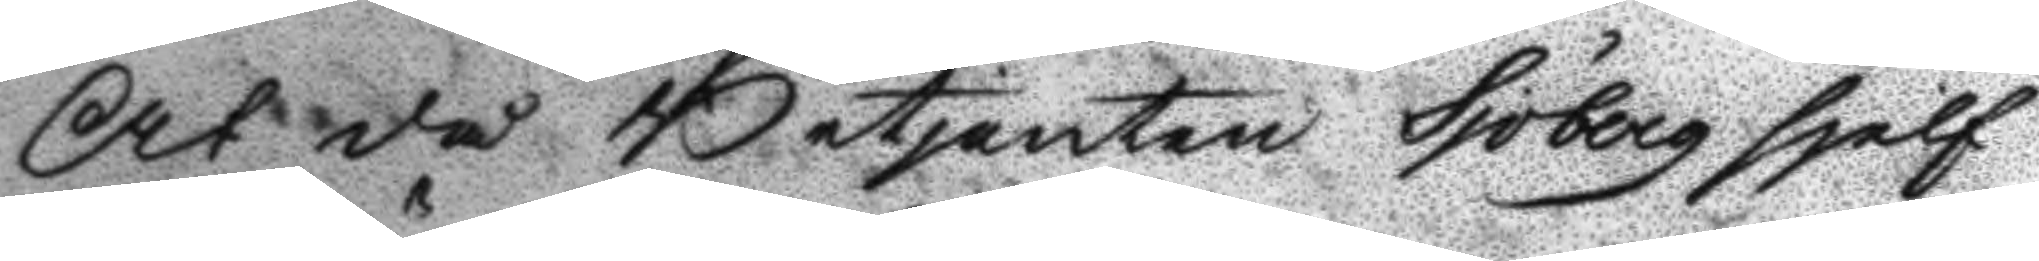At då Betjenten Sjöberg sjelf
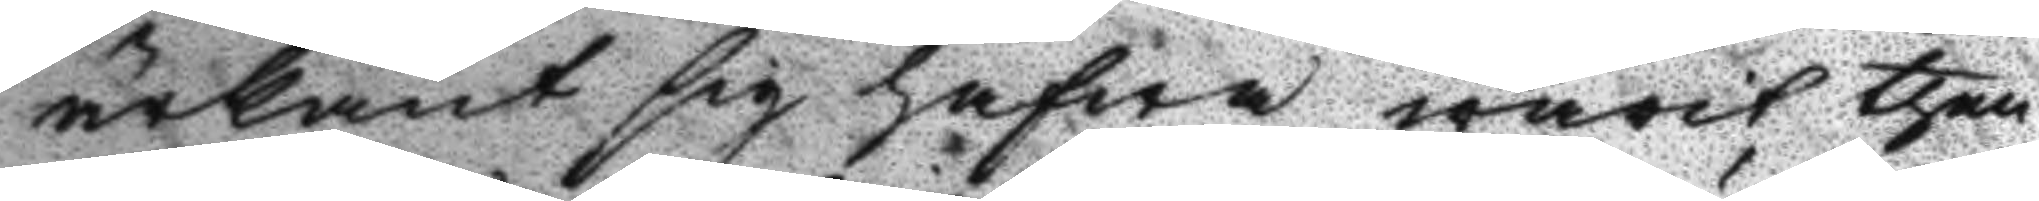ärkänt sig hafwa warit then
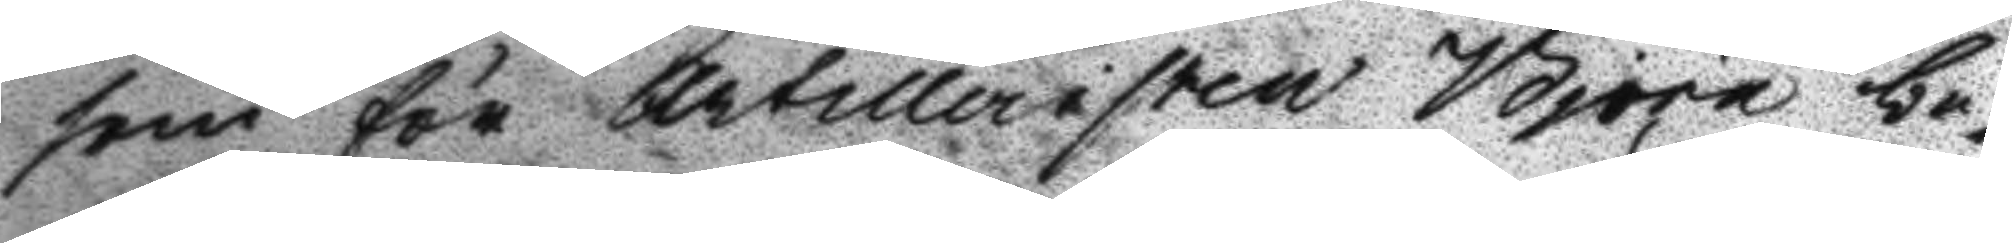som för Atrilleristen Björn be¬
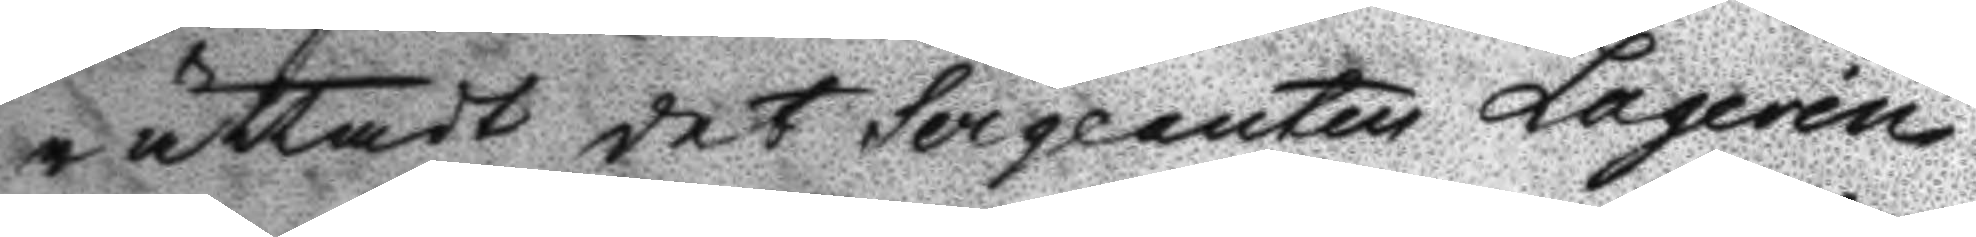rättadt det Sergeanten Laqerin
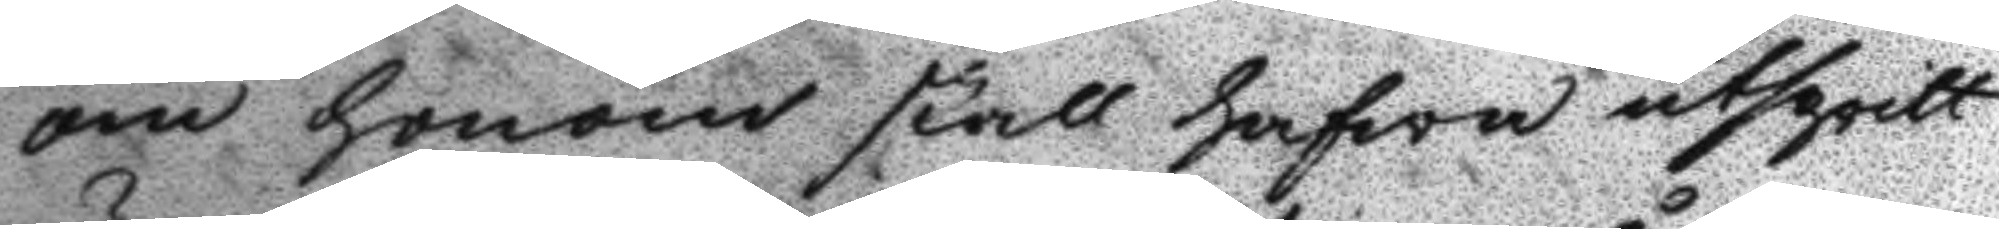om honom skall hafwa utspritt
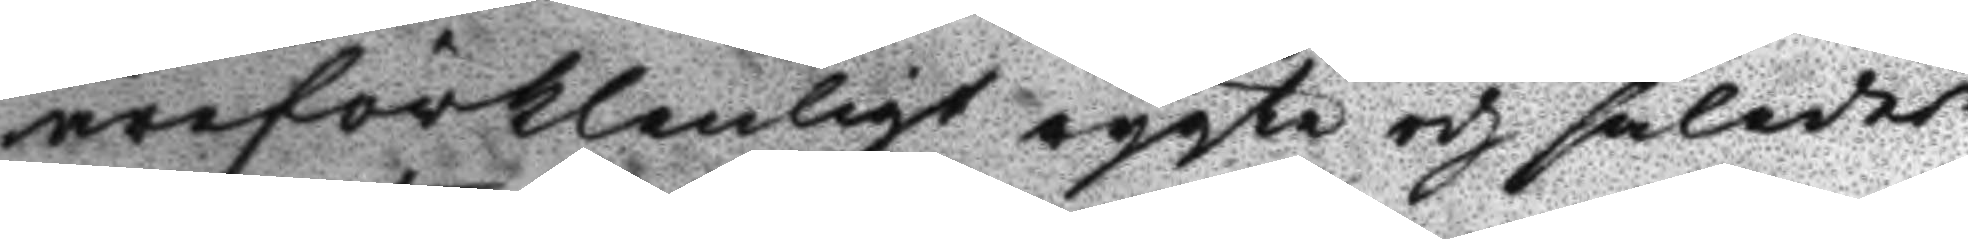äreförklenligt rygte och således
